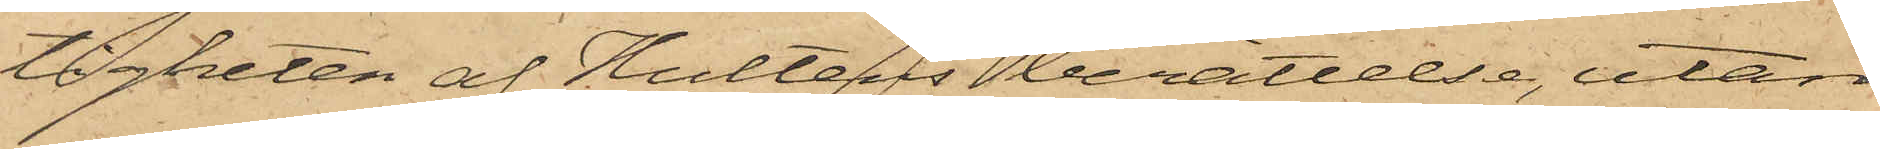tigheten af Hulténs berättelse, utan
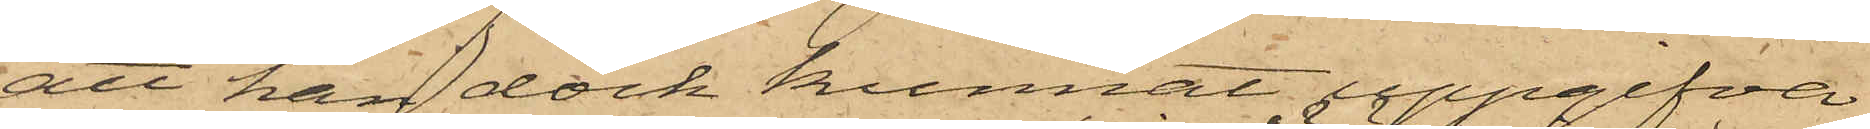att han dock kunnat uppgifva
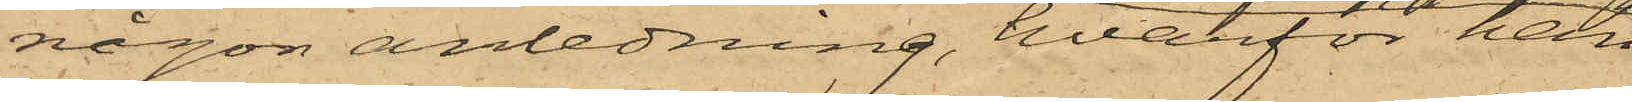någon anledning, hvarför han
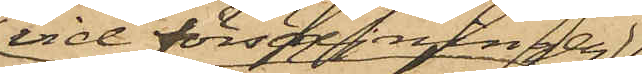vid försäljningen
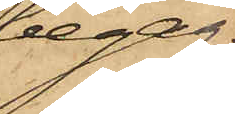begag¬
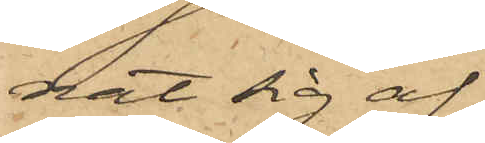nat sig af
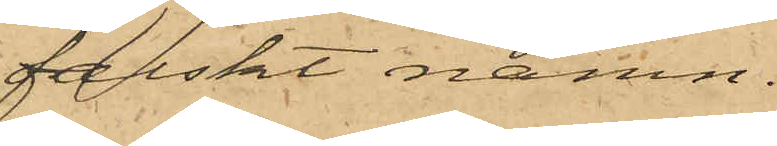falskt namn.
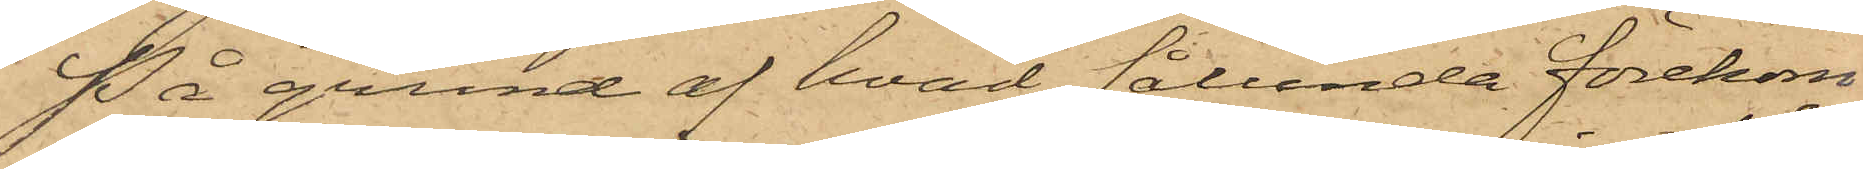På grund af hvad sålunda förekom¬
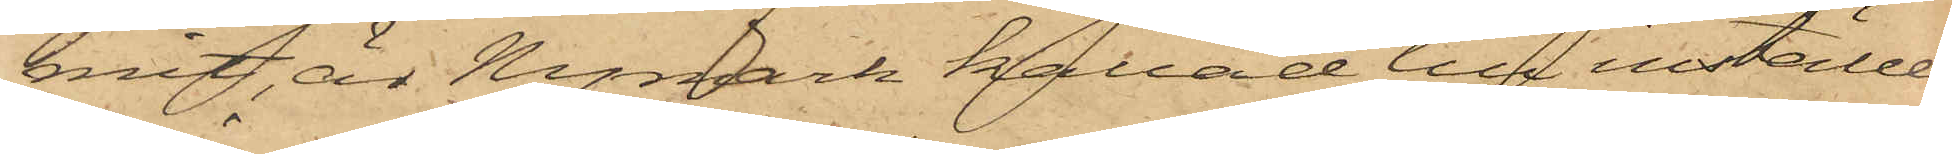mit är Nymark kallad till inställel¬
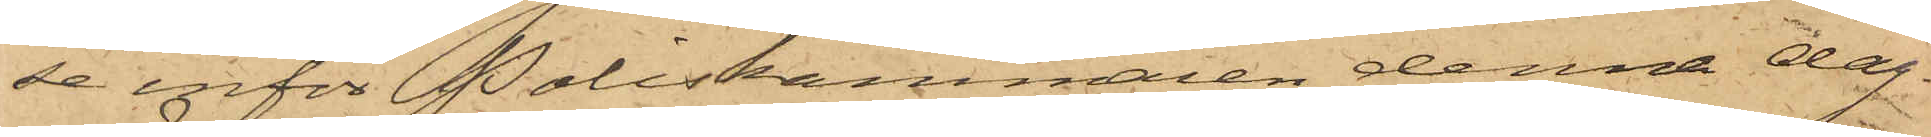se inför Poliskammaren denna dag.
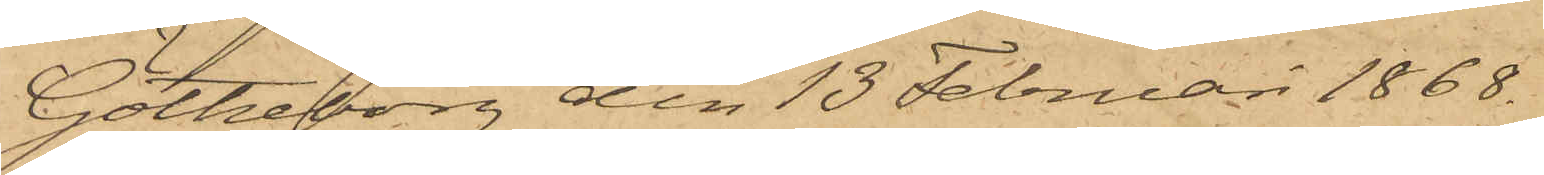Göteborg den 13 Februari 1868.
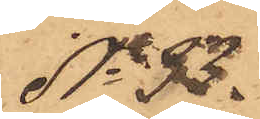No 33.
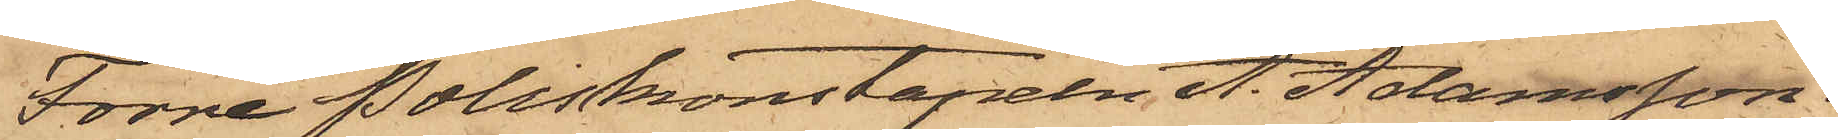Förre Poliskonstapeln A. Adamsson
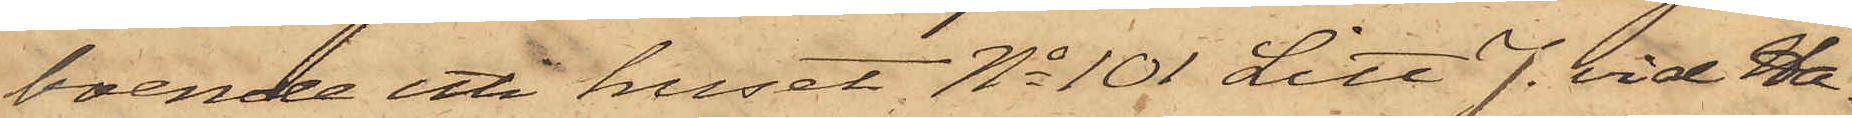boende uti huset No 101 Litt. J. vid Ha¬
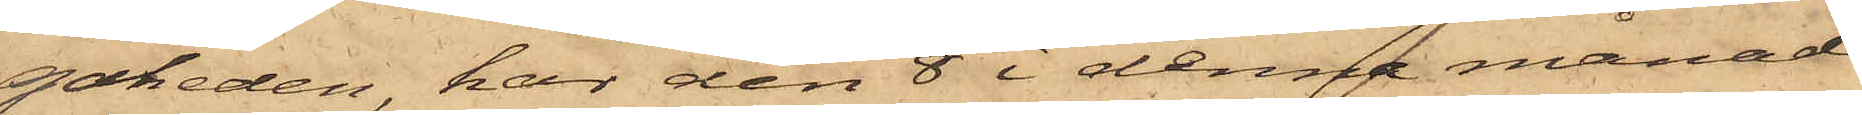gaheden, har den 8 i denne månad
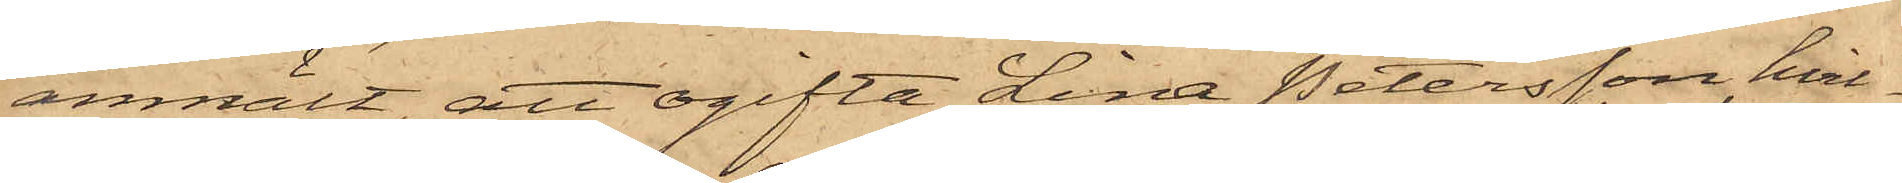anmält, att ogifta Lina Petersson, hvil¬
